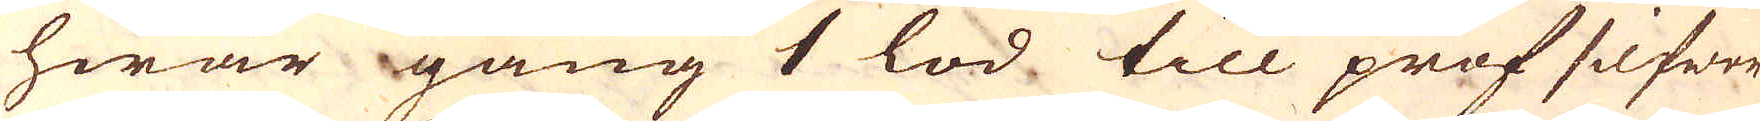hwar gång 1 lod till prof silfwer
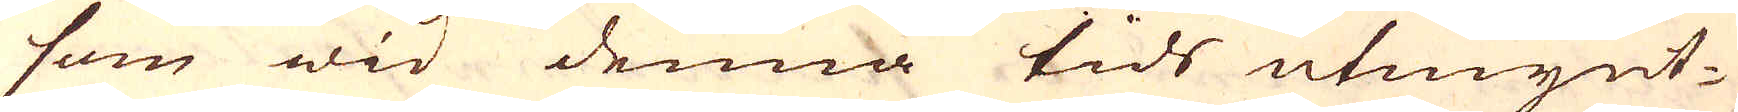som wid denna tids utmynt-
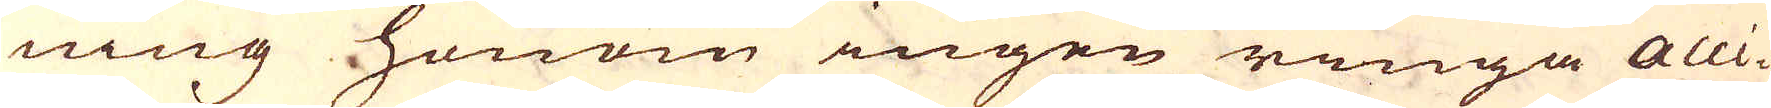ning honom ingen ringa acci-
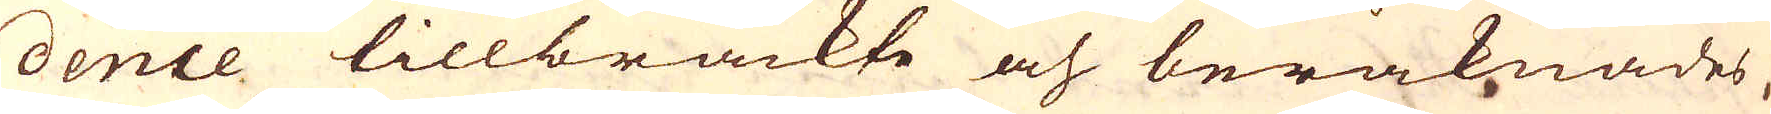dence tillbrackte och beräknades
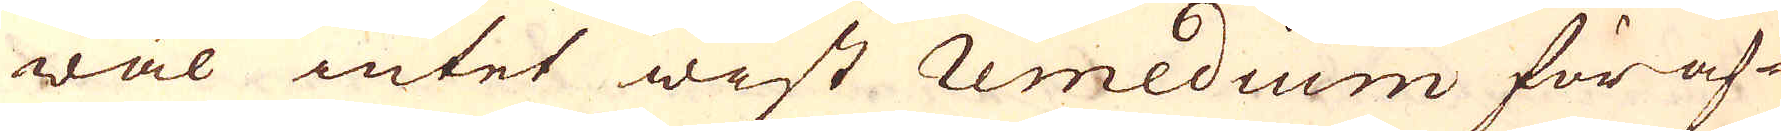wäl intet wist remedium för af-
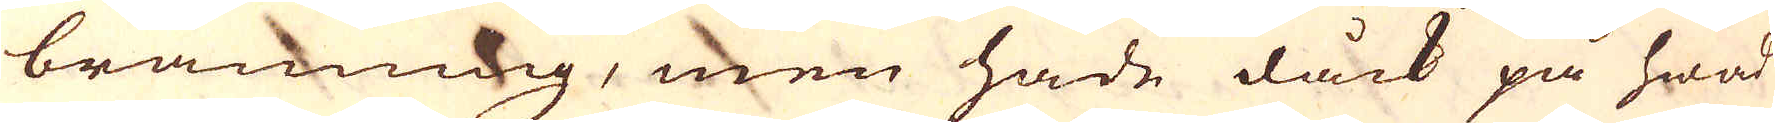brännning, men hade dåck på hwad
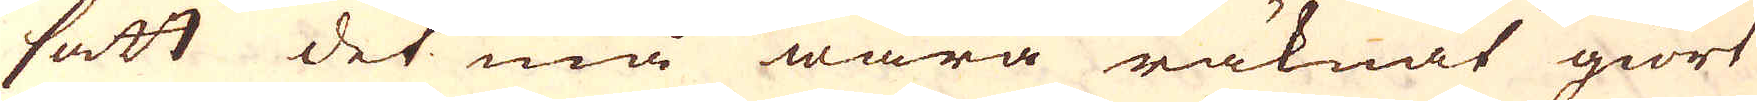sätt det må wara räknat giort
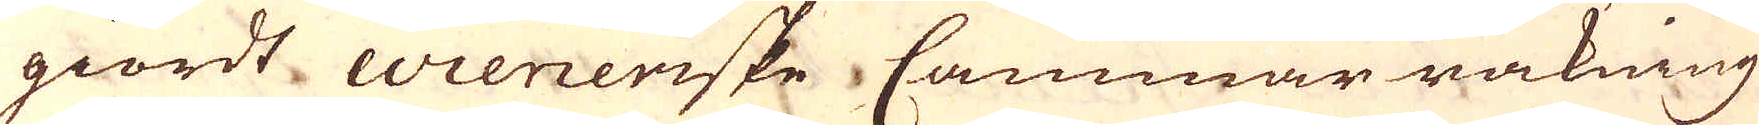giordt Wieneriske Cammar räkning
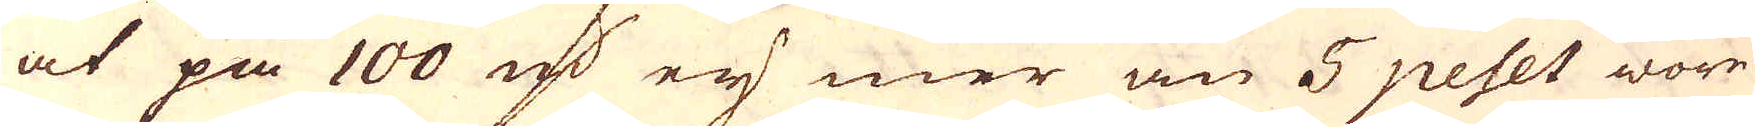at på 100 marker ey mer än 5 peset wore
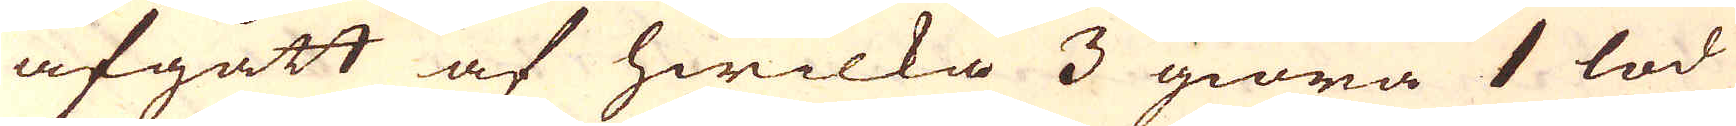afgått af hwilka 3 giöra 1 lod
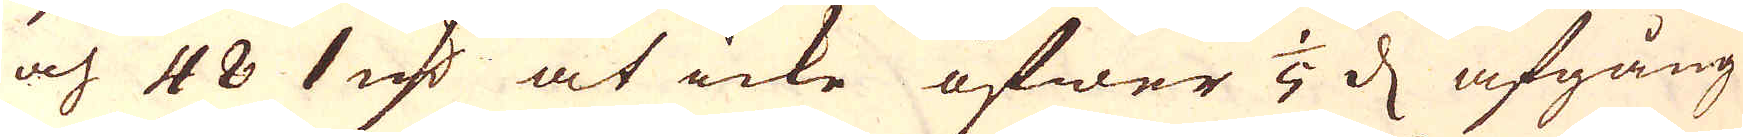och 48 1 marker at icke öfwer 1/5 d afgång
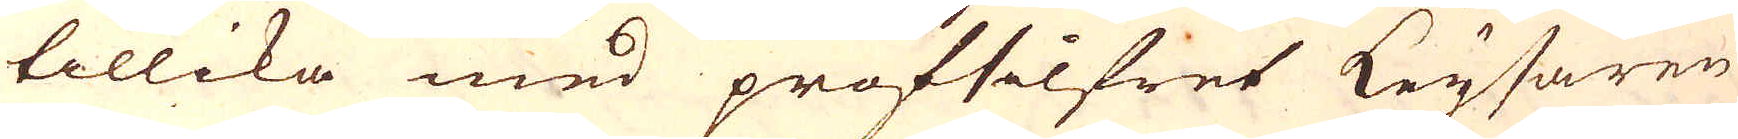tillika med profsilfret Keysaren
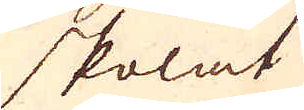skolat
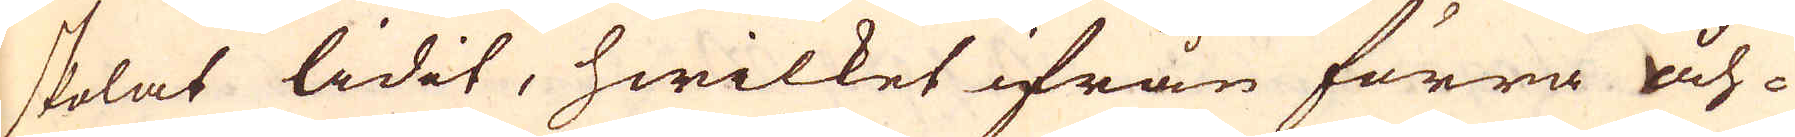skolat lidit, hwilket ifrån förra åh-
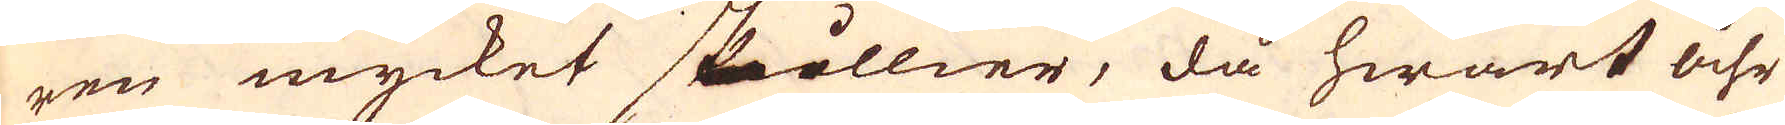ren mycket skillier, då hwart åhr
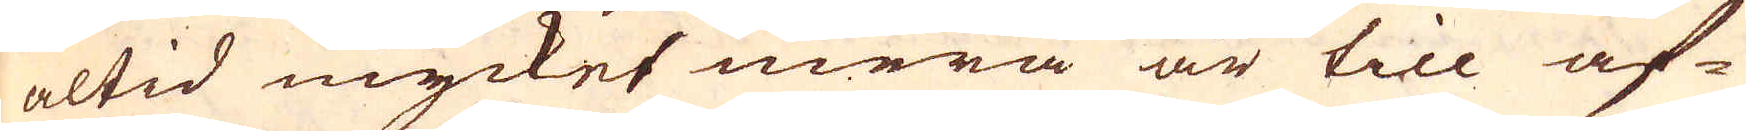altid mycket mera är till af-
